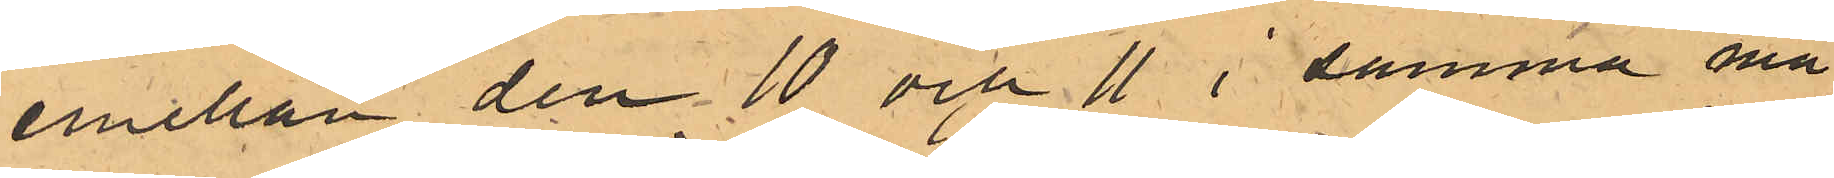emellan den 10 och 11 i samma må
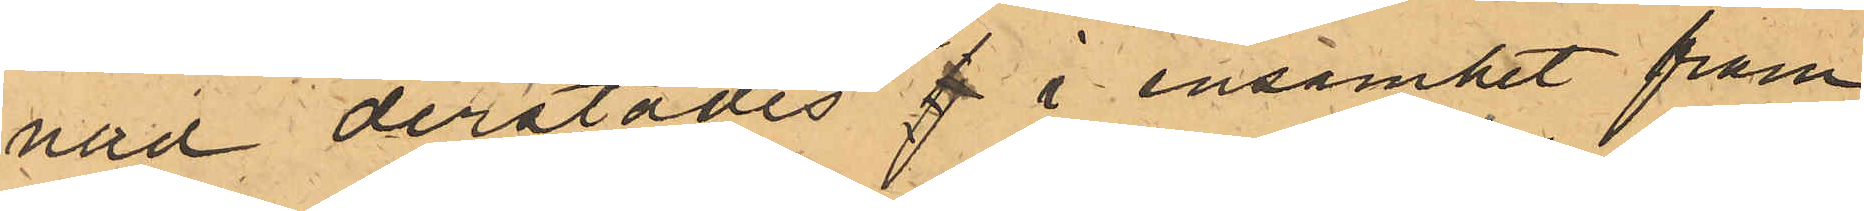nad derstädes f i ensamhet fram
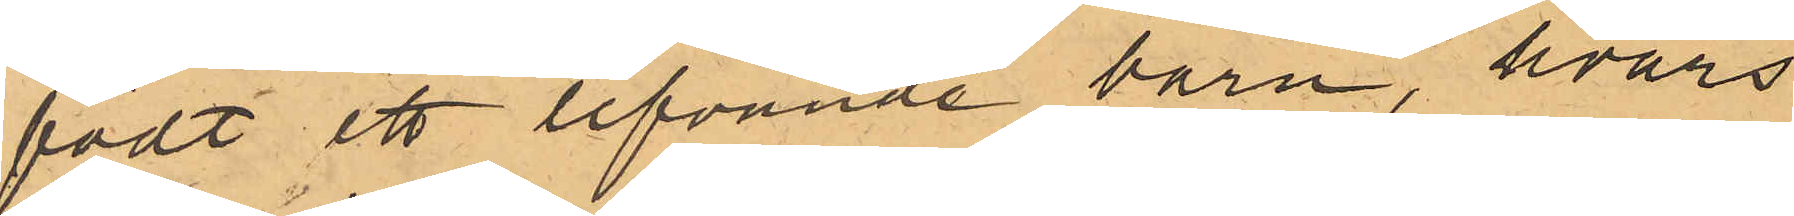födt ett lefvande barn, hvars
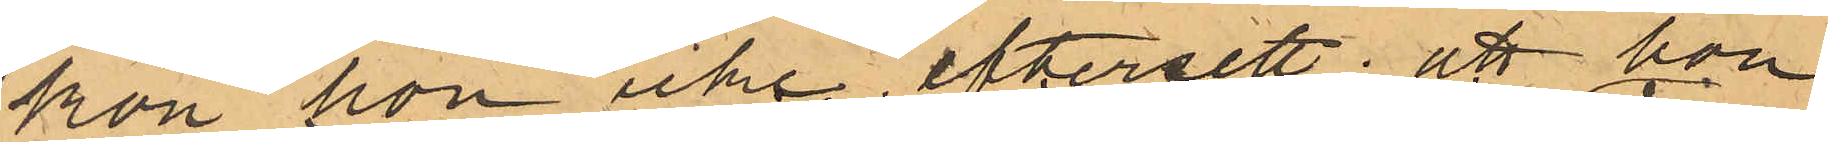kön hon icke eftersett; att hon
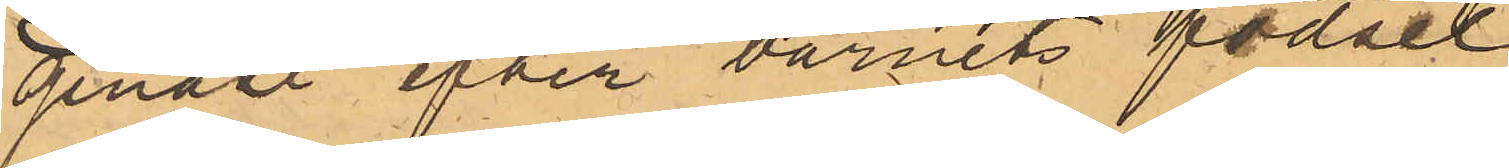genast efter barnets födsel
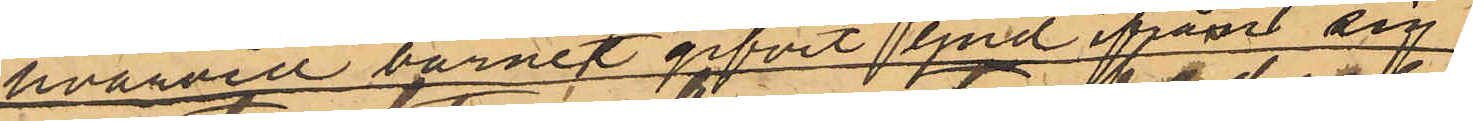hvarvid barnet gifvit ljud ifrån sig
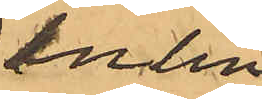inlin¬
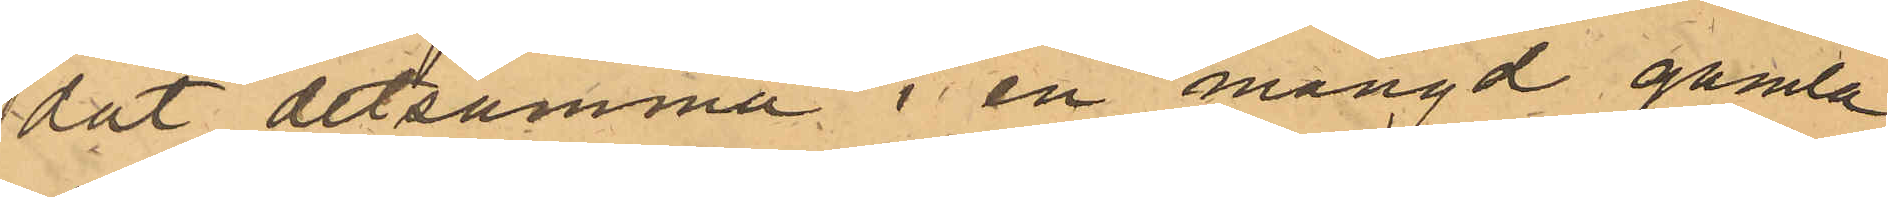dat detsamma i en mängd gamla
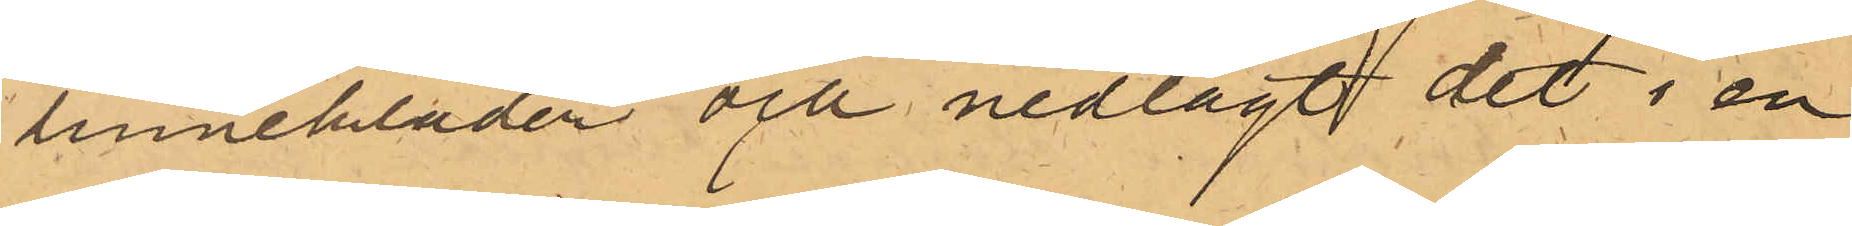linnekläder och nedlagt det i en
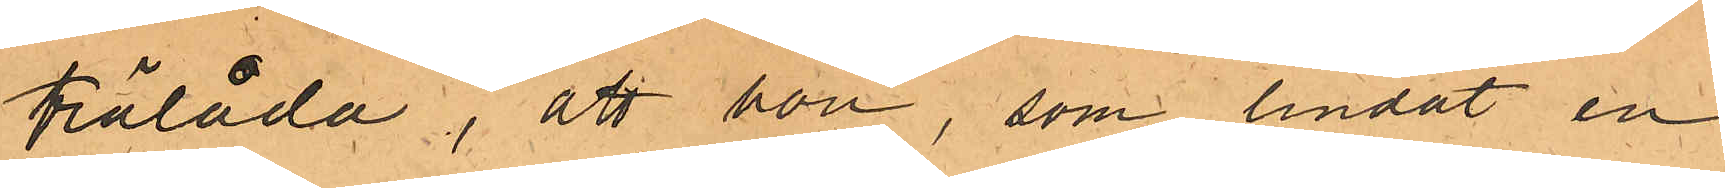trälåda, att hon, som lindat en
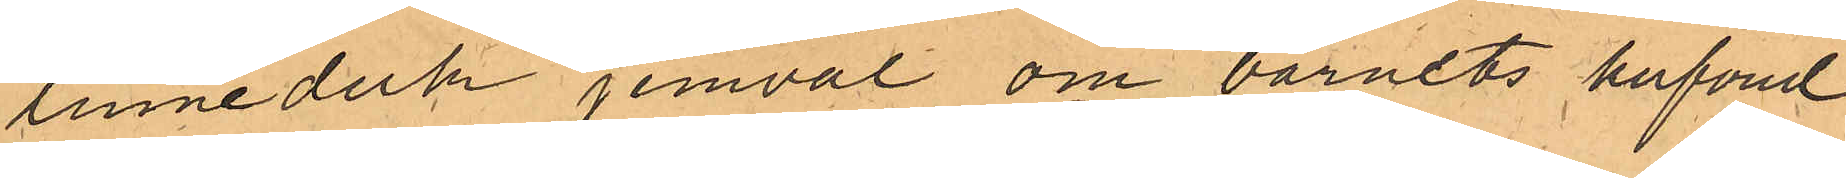linneduk jemväl om barnets hufvud
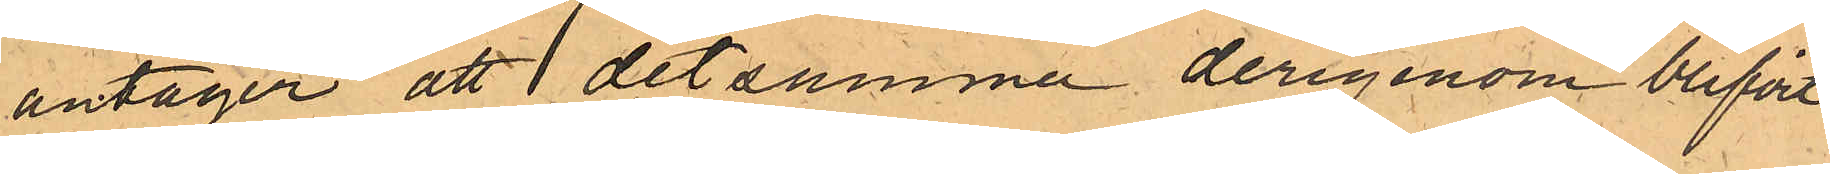antager att detsamma derigenom blifvit
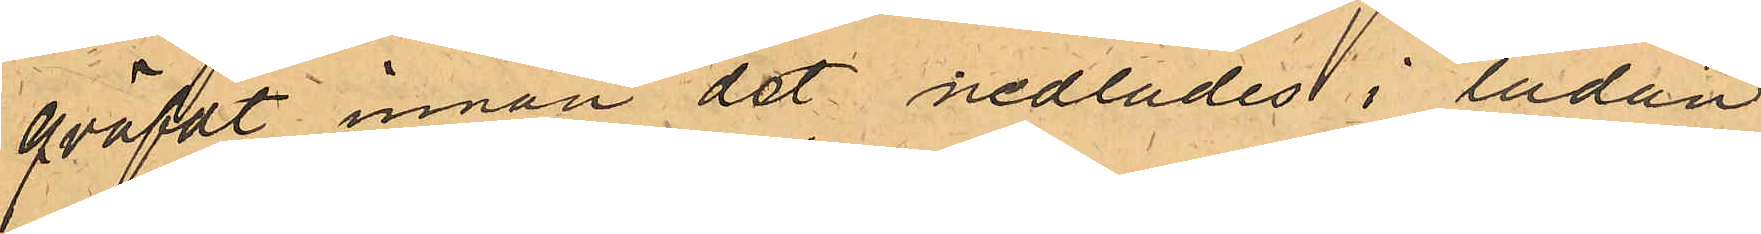qväfvt innan det nedlades i lådan,
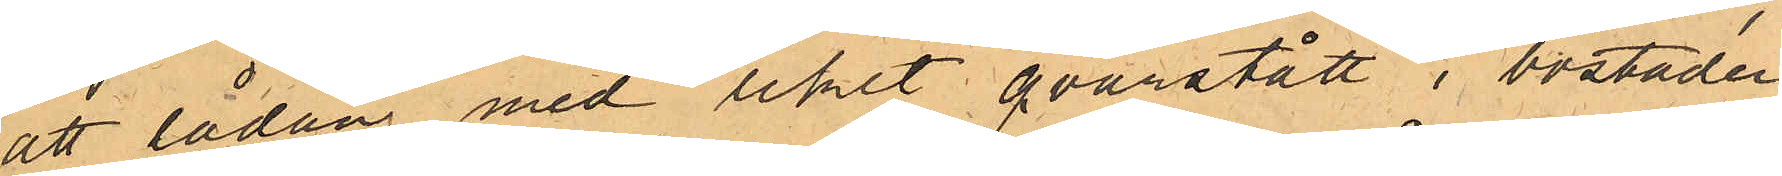att lådan med liket qvarstått i bostaden
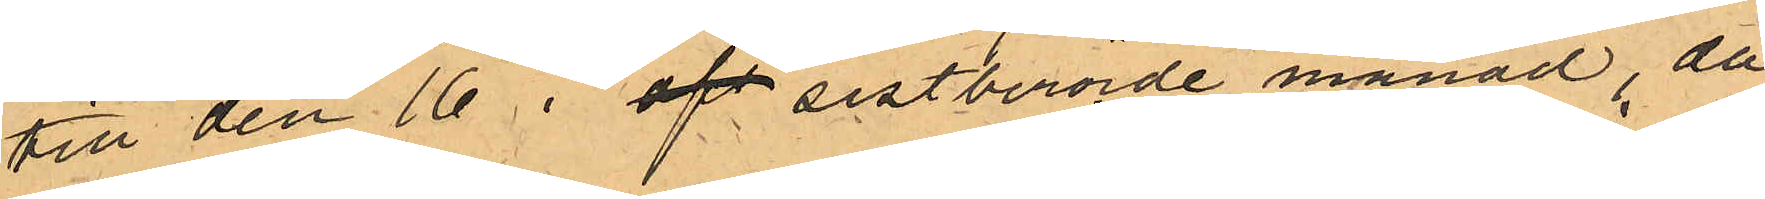till den 16 i af sistberörde månad, då
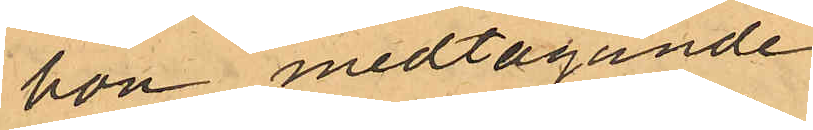hon medtagande
